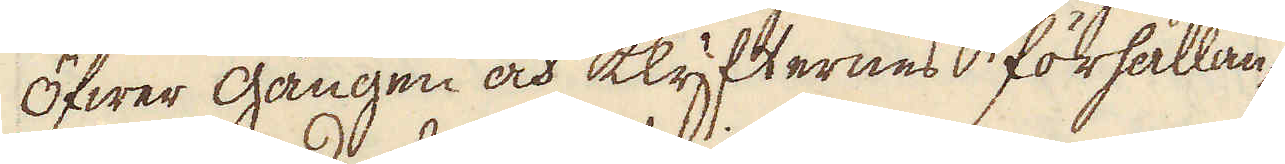Öfwer gången och klyfternes förhållan-
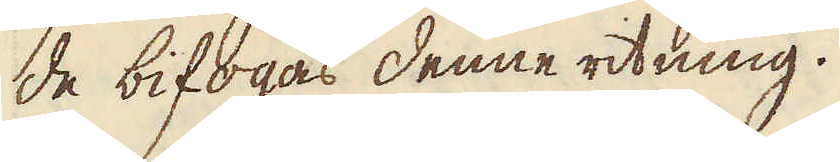de bifogas denne ritning.
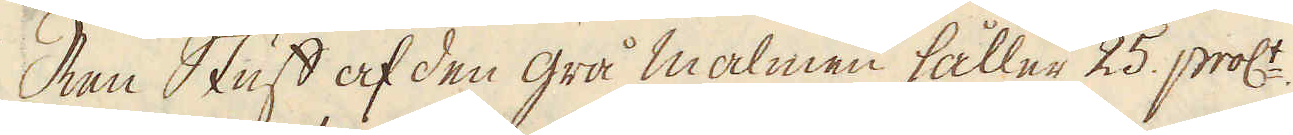Ren Stuff af den grå malmen håller 25. proc:t
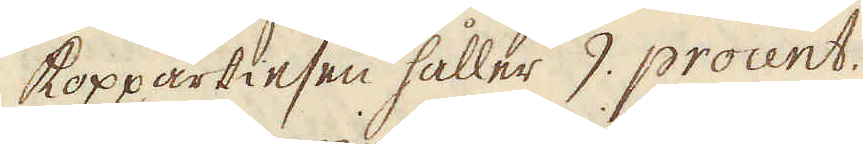kopparkiesen håller 9. procent.
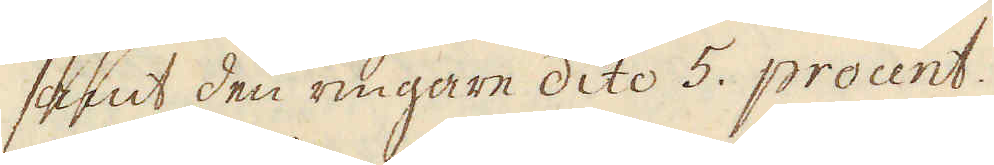samt den ringare dito 5. procent.
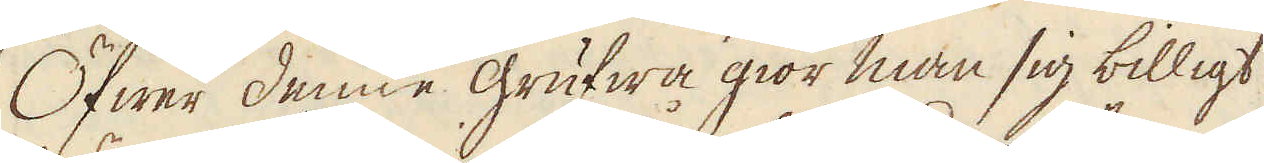Öfwer denne grufwa giör man sig billigt
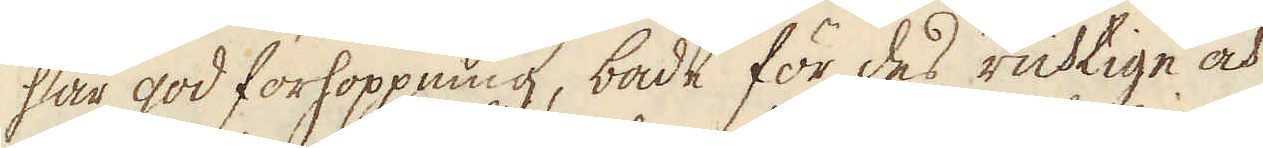här god förhoppning, både för des richtige och
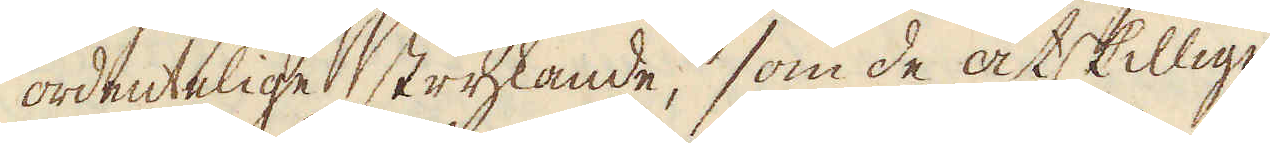ordentelige strykande, som de åtskillige
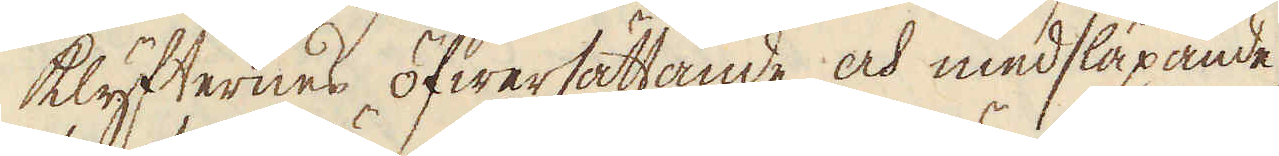klyfternes öfwersättande och medsläpande,
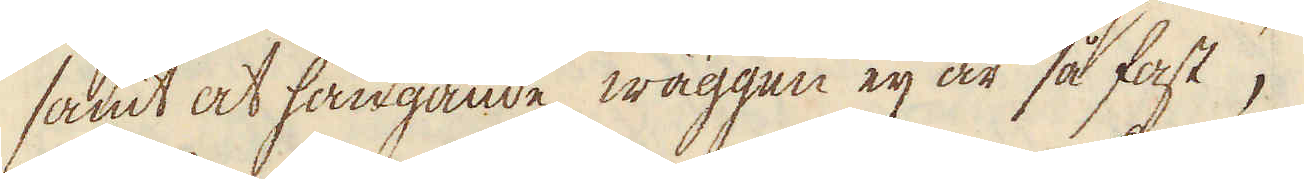samt at hängande wäggen eij är så fast,
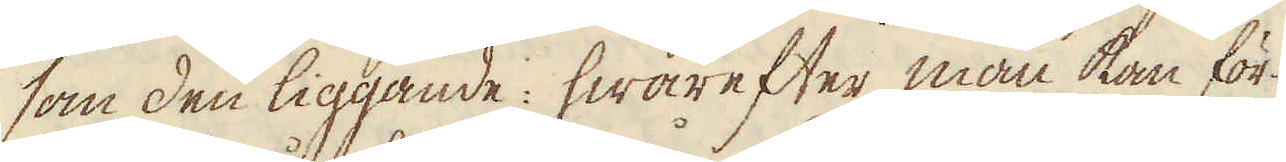som den liggande: hwarefter man kan för-
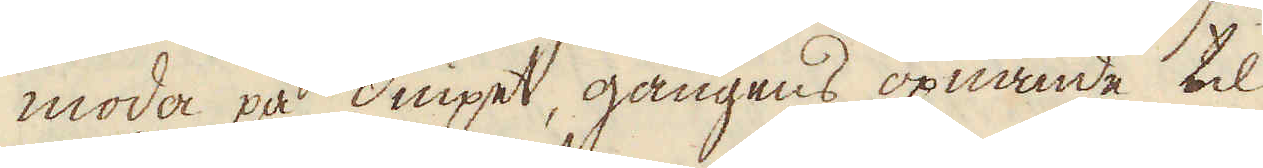moda på diupet, gångens öpnande til
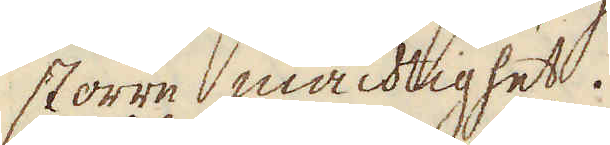större mächtighet.
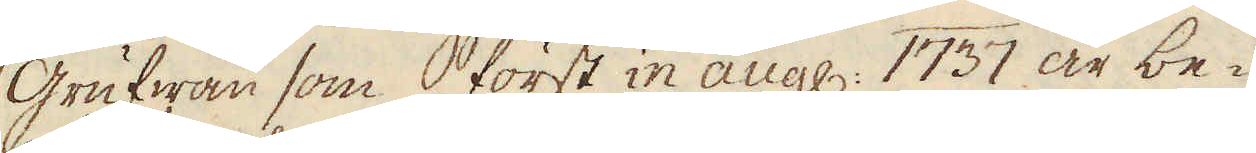Grufwan som först in aug: 1737 är be-
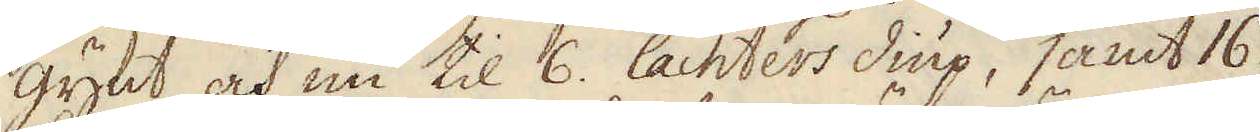gynt, och nu til 6. lachters diup, samt 16.
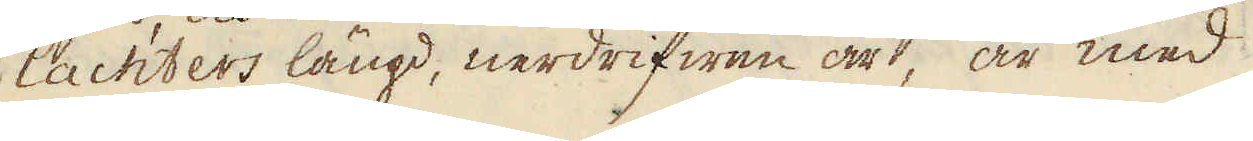lachters längd, nerdrifwen är, är med
